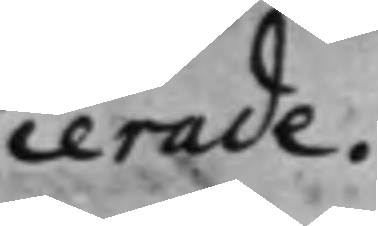cerade.
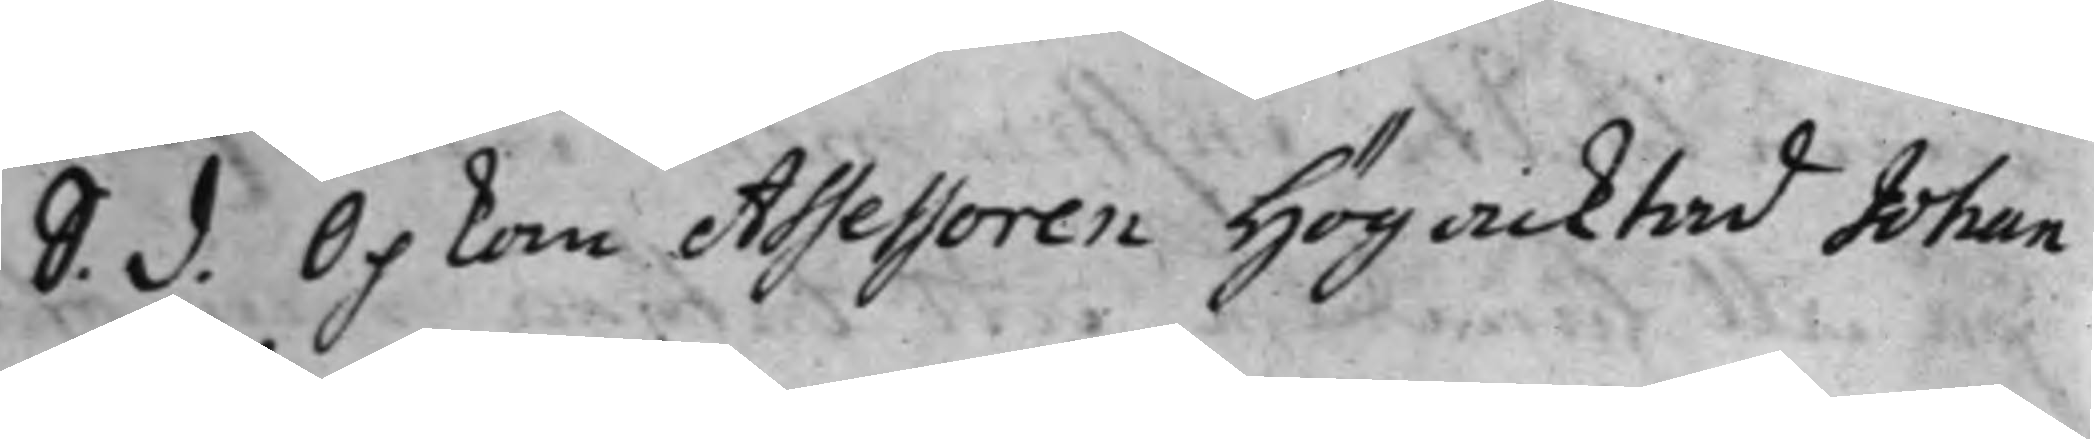S. d. Opkom Asssessoren Högacktad Johan 
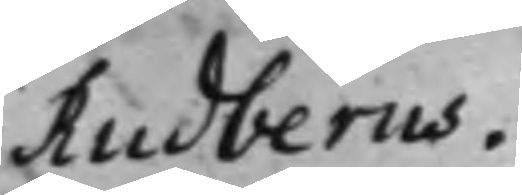Rudberus.
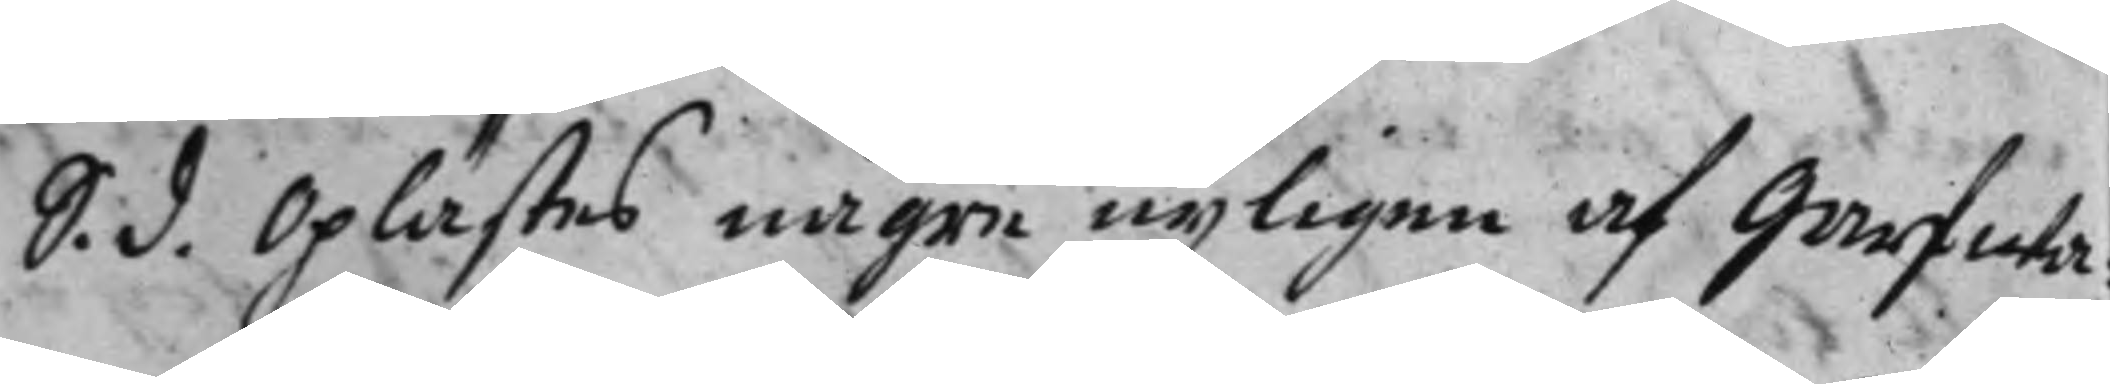S. d. Oplästes någre nyligen af Garfwa¬
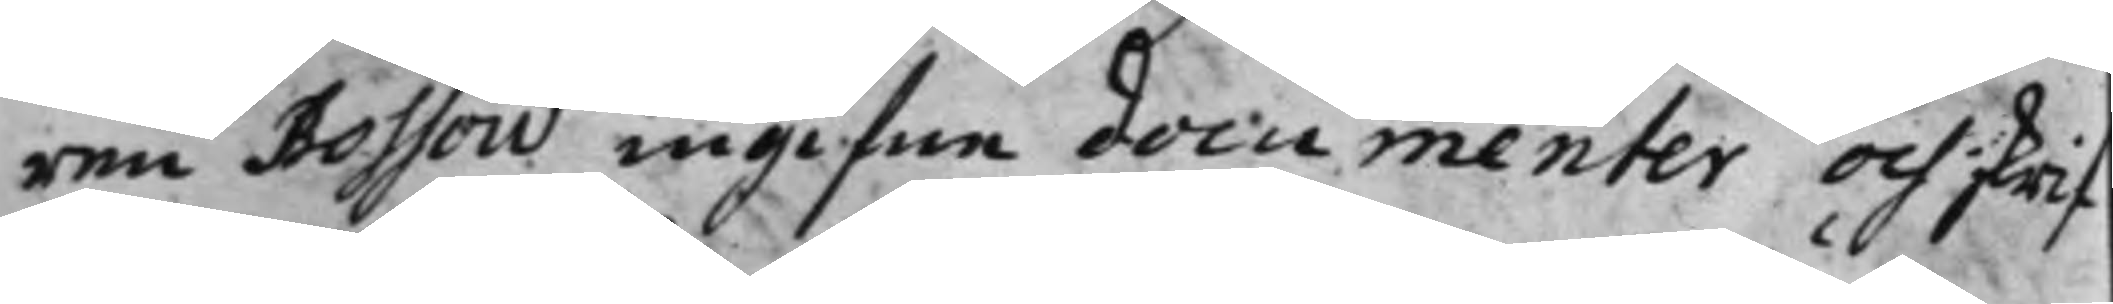ren Bossow ingifne documenter och skrif¬
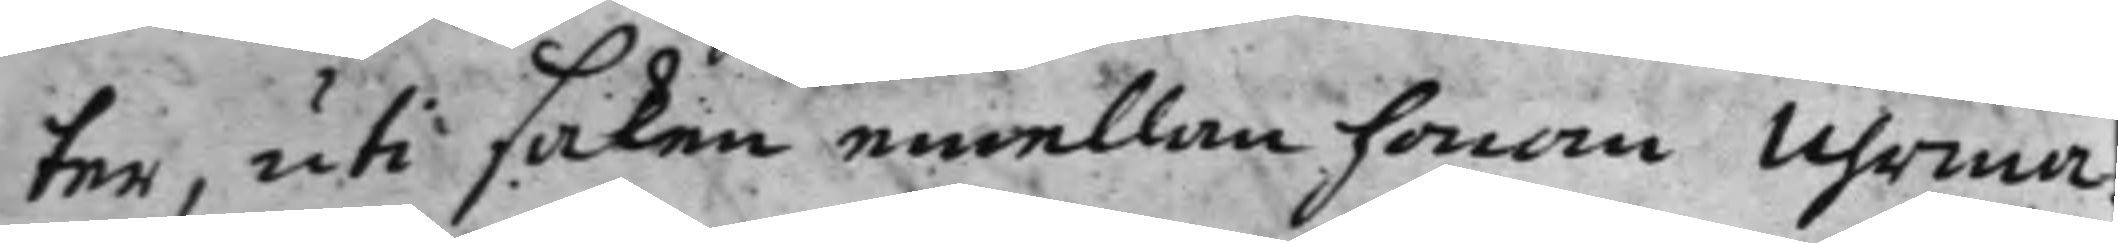ter, uti saken emellan honom Uhrma¬
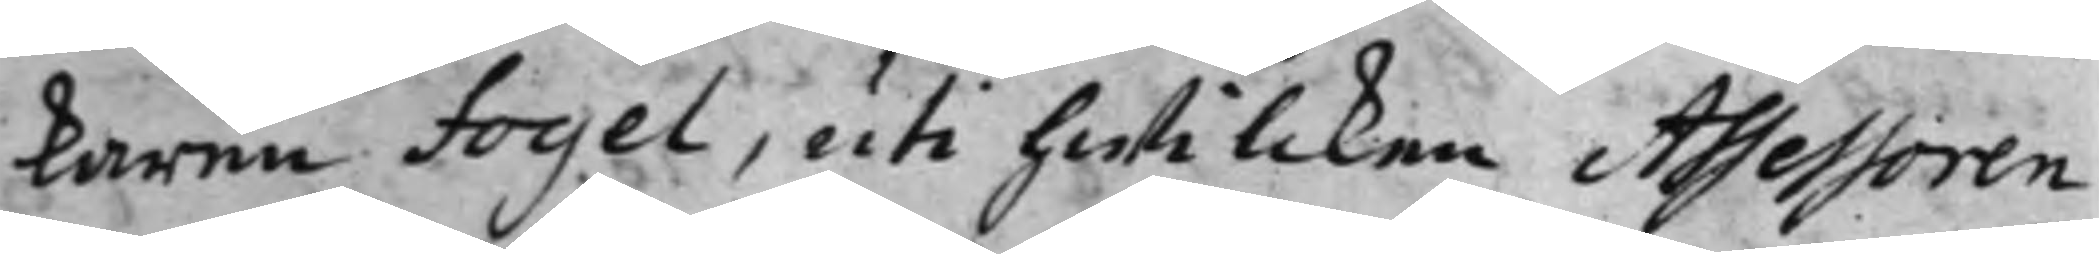karen Fogel, uti hwilcken Assessoren
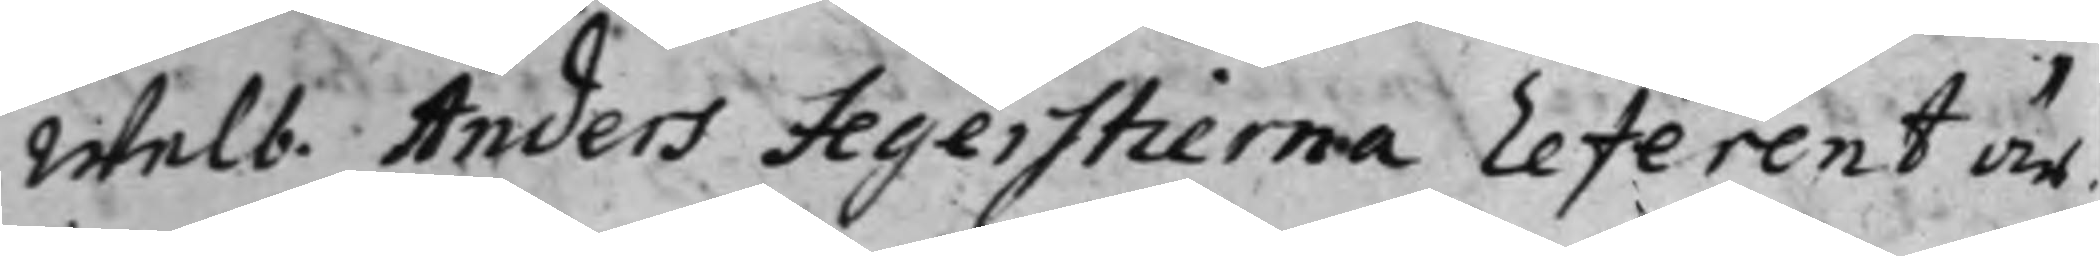Welb. Anders Fegerstierna Referent är.
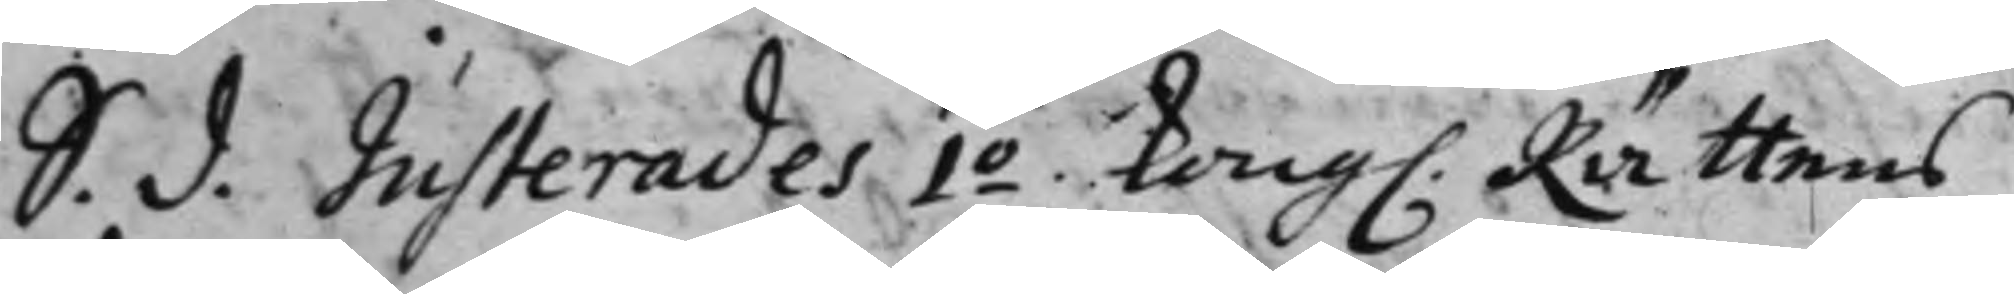S. d. Justerades 1:o Kong. Rättens 
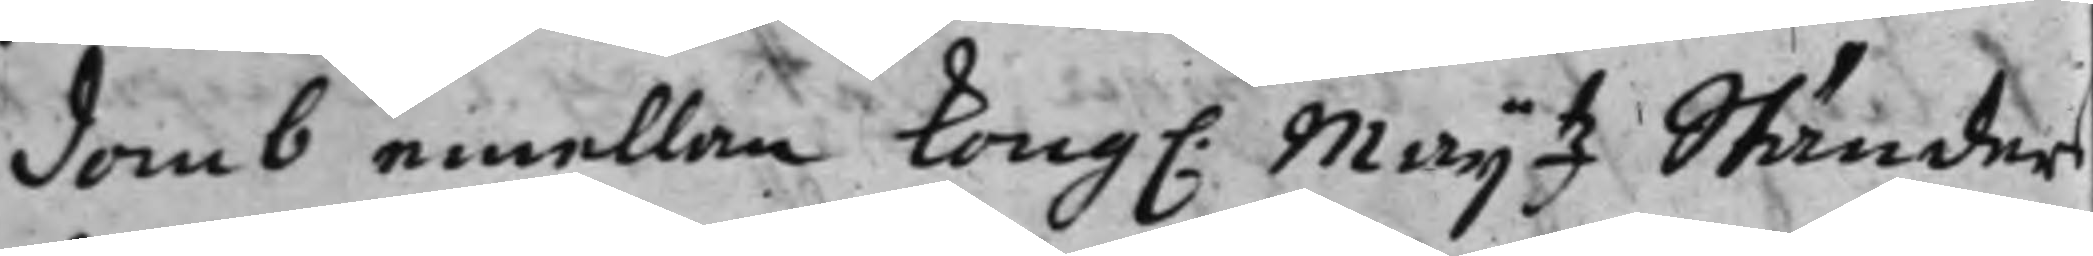domb emellan Kong: Maij.tz Ständers
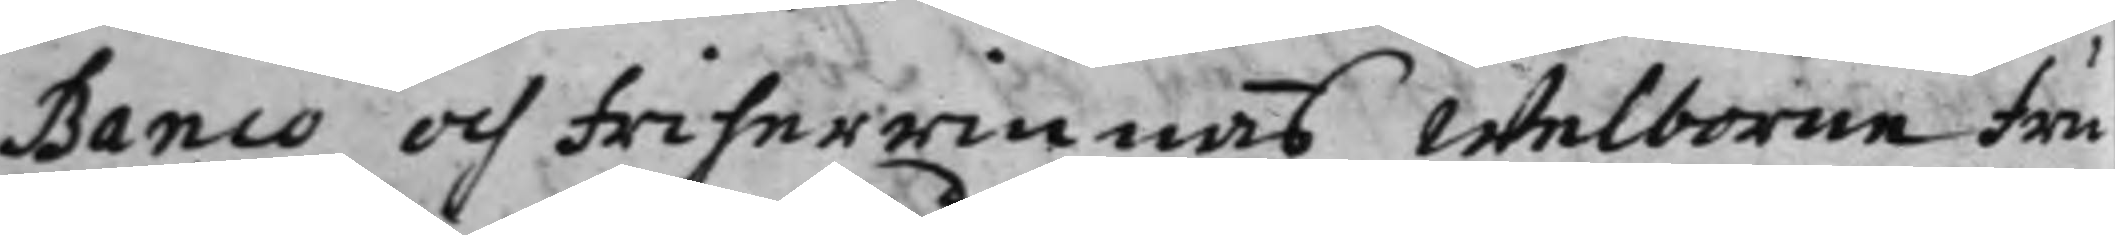Banco och friherrinnas Welborne fru
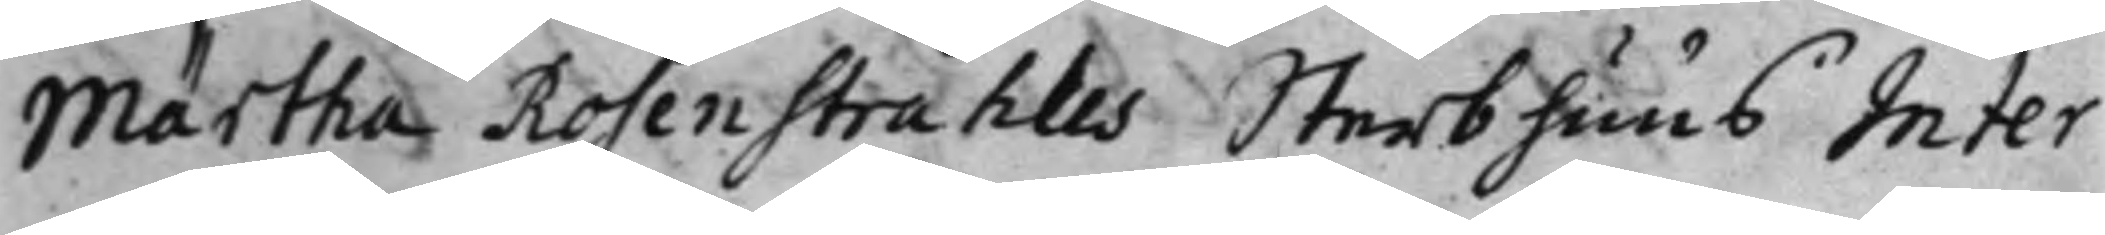Märtha Rosenstråhles Sterbhuus Inter¬
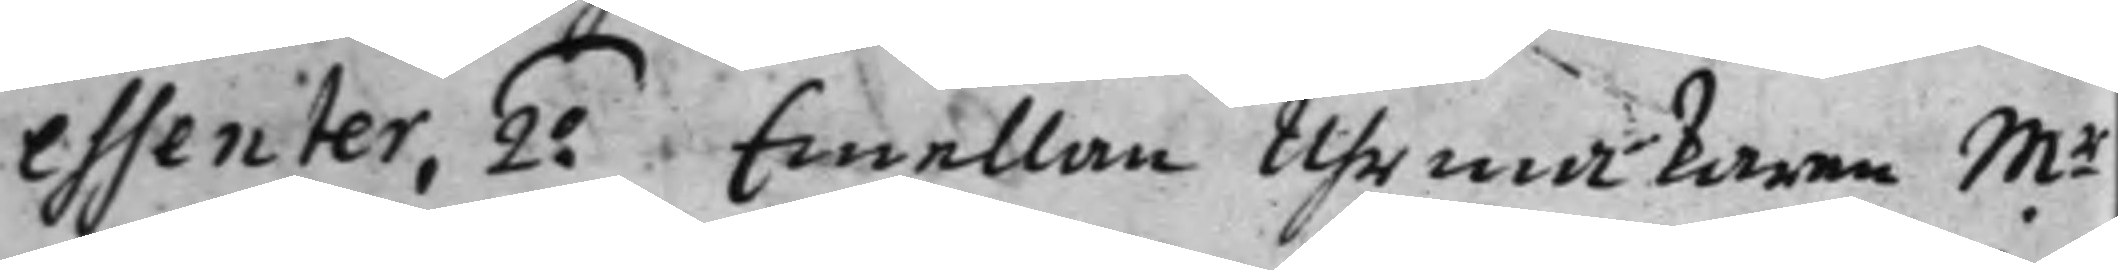essenter, 2:o Emellan Uhrmakaren M:r 
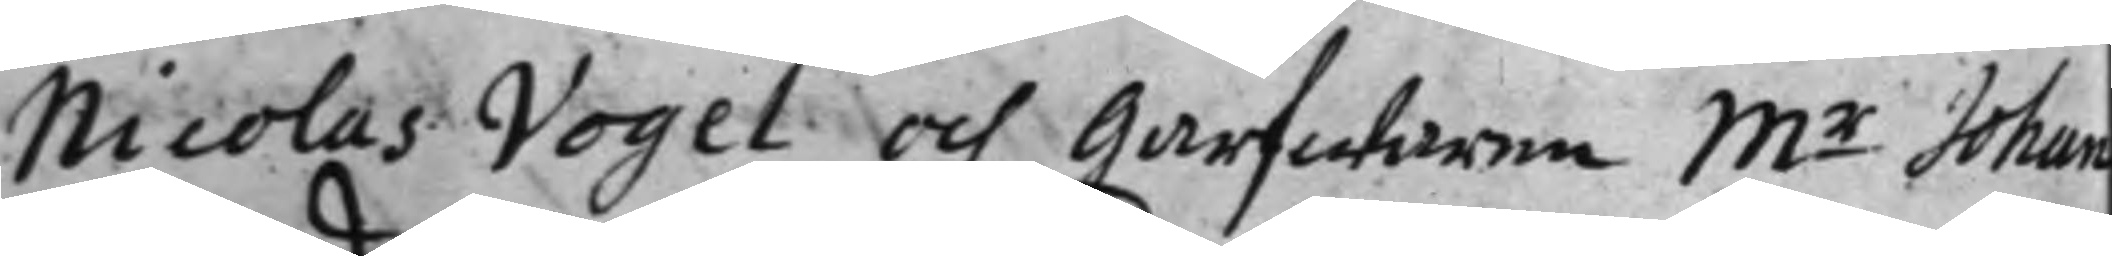Nicolas Vogel och Garfwaren M:r Johan 
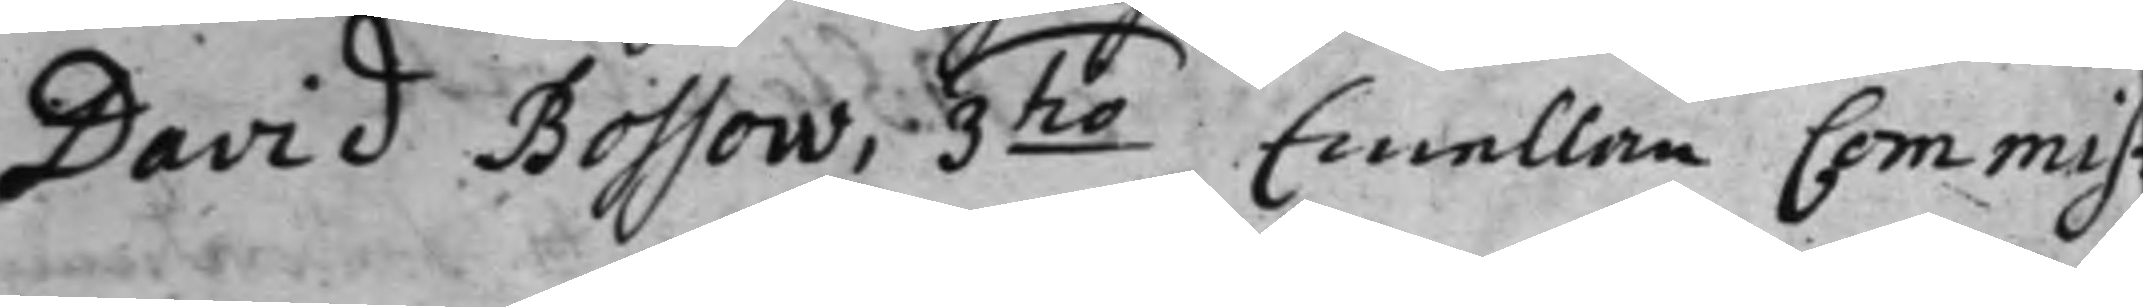David Bossow, 3:tio Emellan Commis¬ 
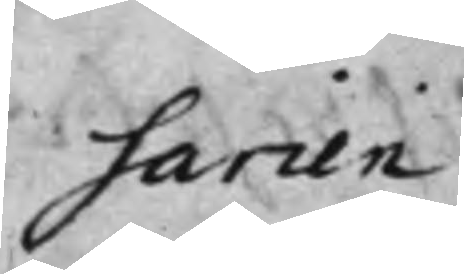sarien
